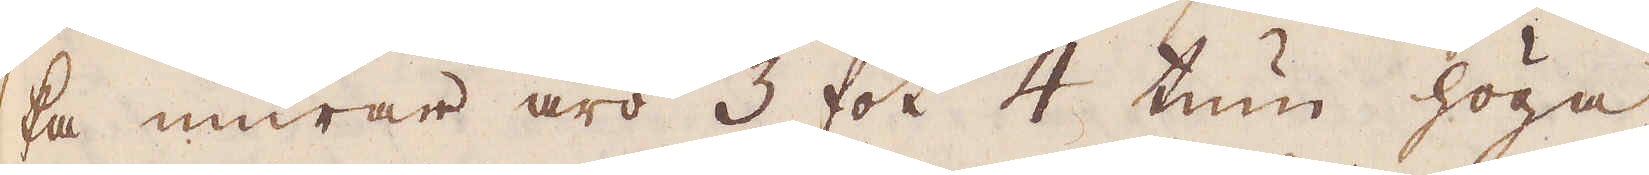ka murar äro 3 fot 4 tum höga
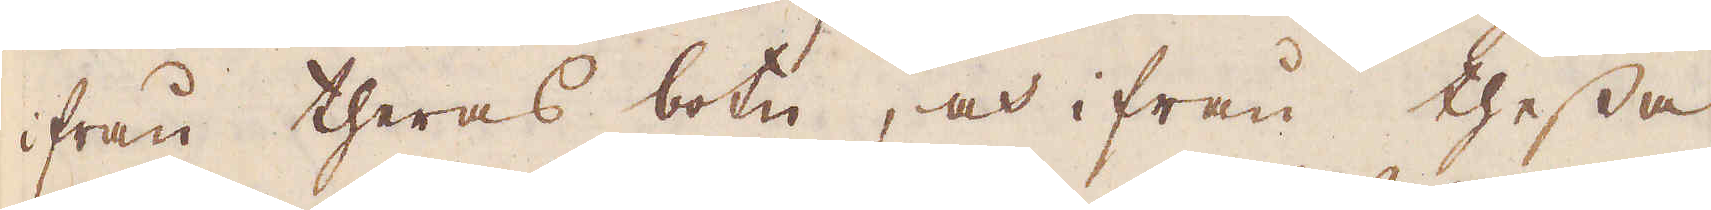ifrån theras botn, och ifrån thessa
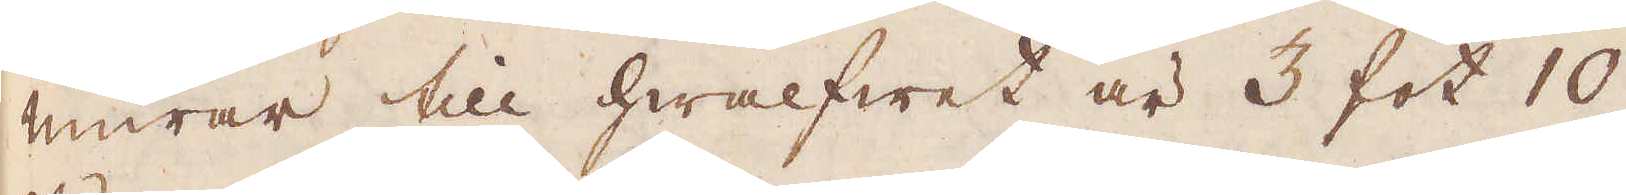murar till hwalfwet är 3 fot 10
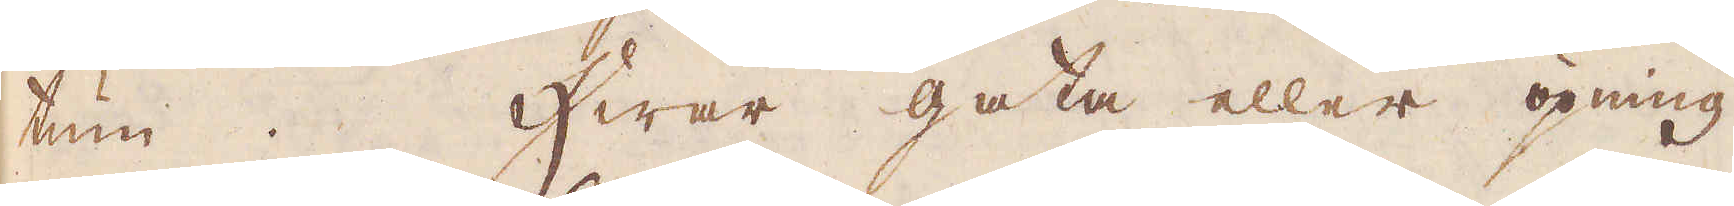tum. Hwar gata eller öpning
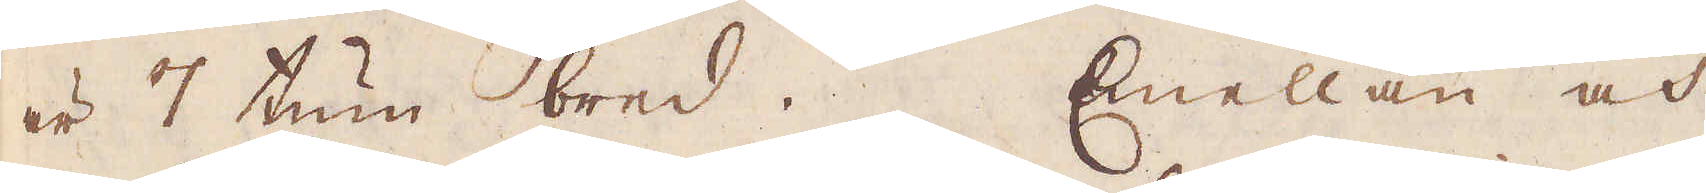är 7 tum bred. Emellan och
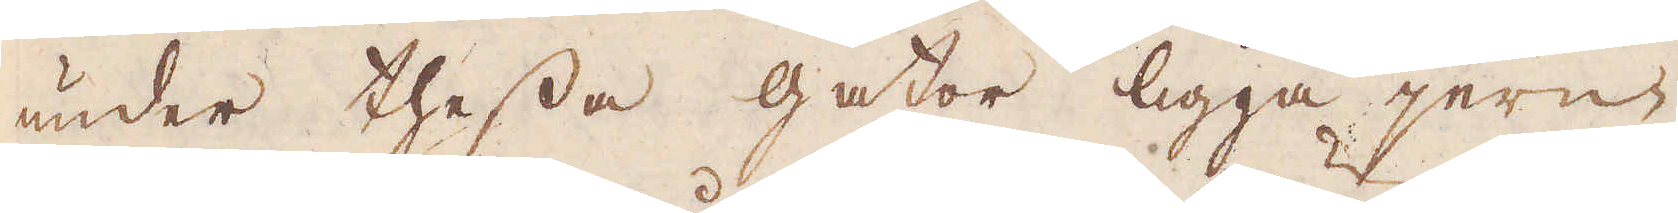under thessa gator ligga jern-
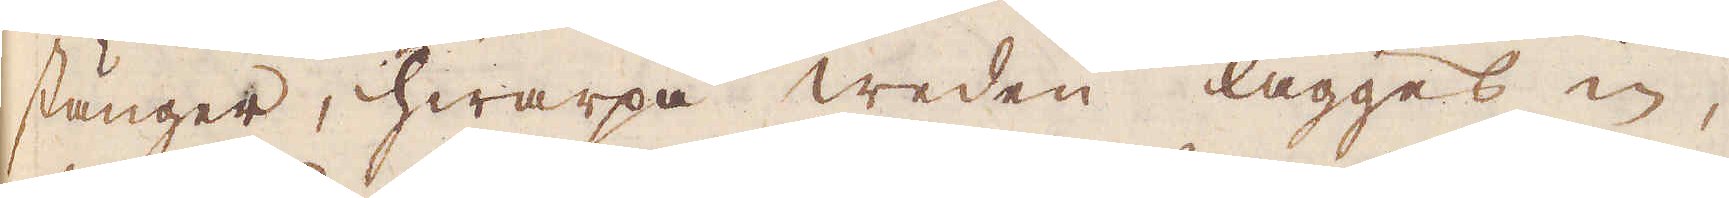stänger, hwarpå weden lägges in,
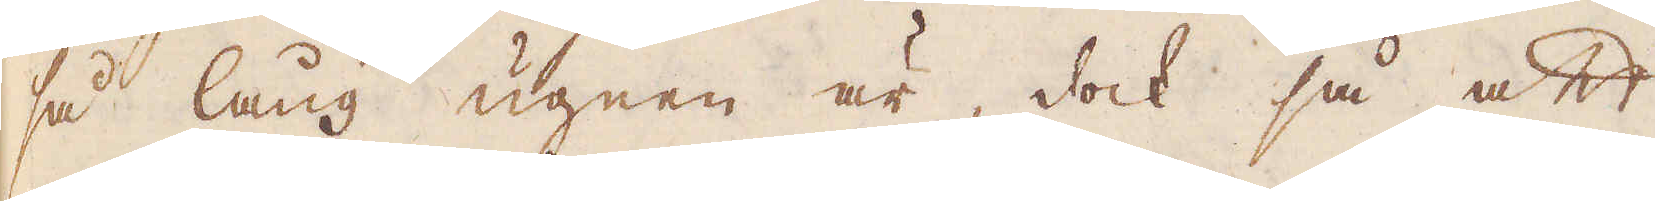så lång ugnen är, dock så att
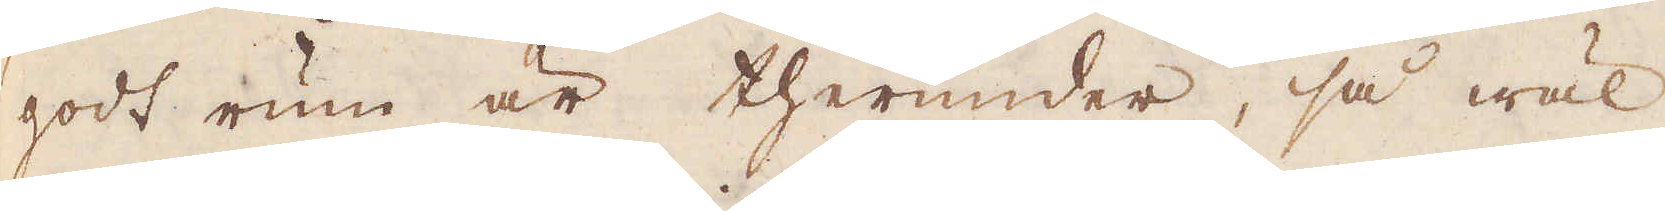godt rum är therunder, så wäl
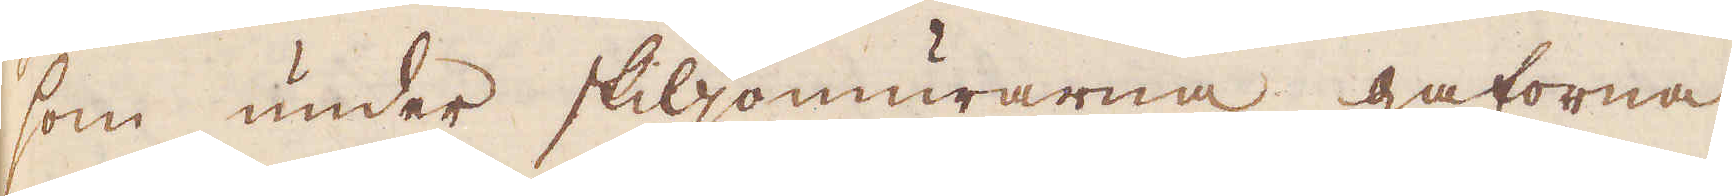som under skiljomurarna gatorna
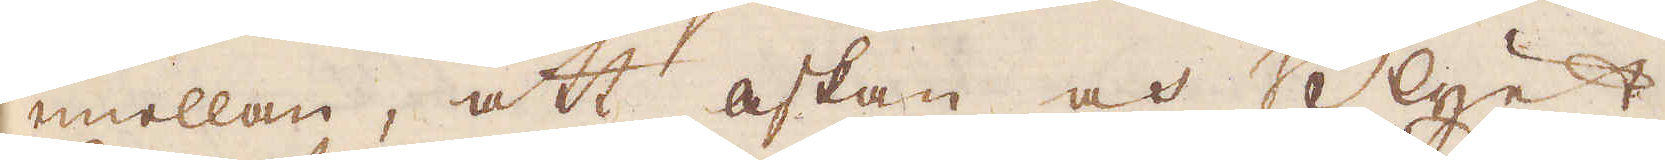emellan, att askan och Blyet
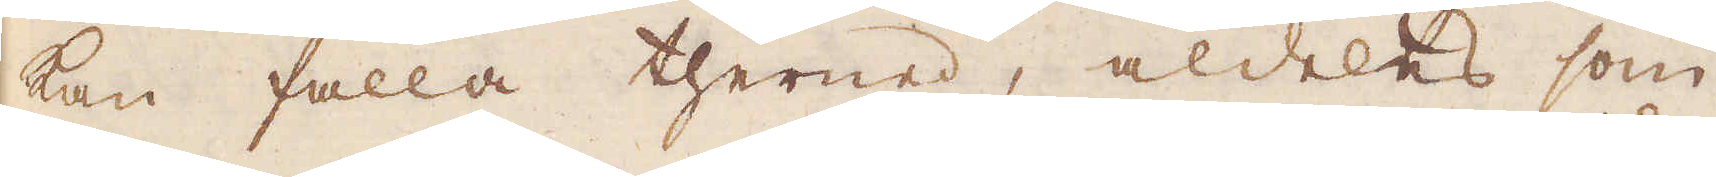kan falla therned, aldeles som
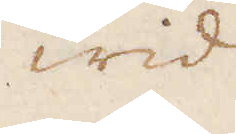wid
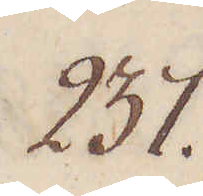237.
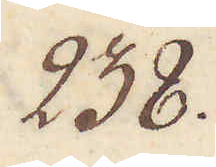238.
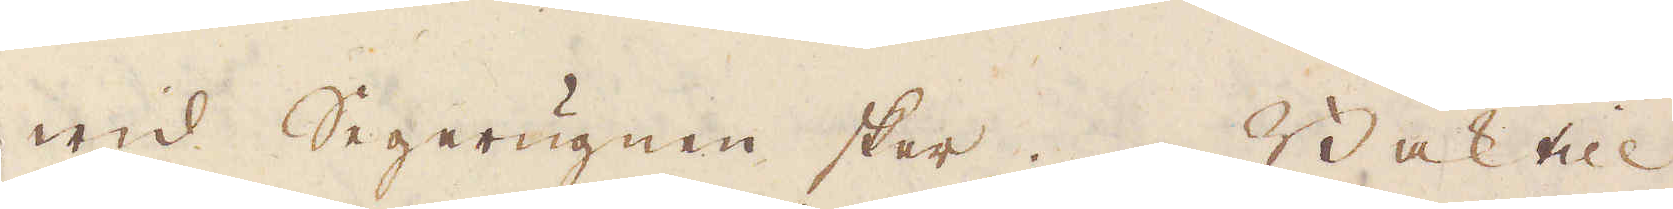wid Segerugnen sker. Baktill
